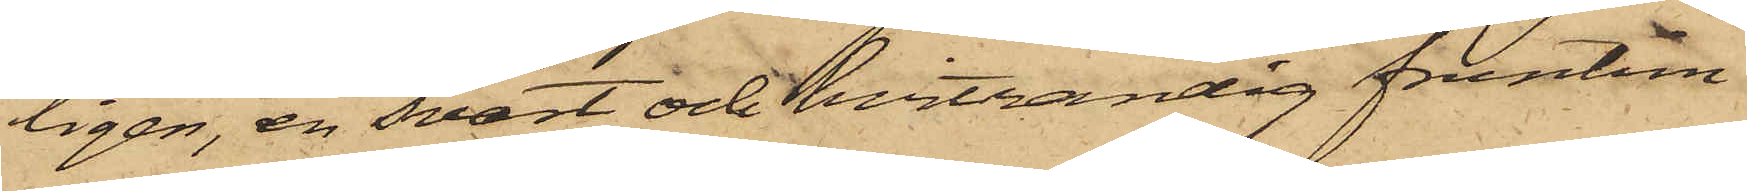ligen, en svart och hvitrandig fruntim¬
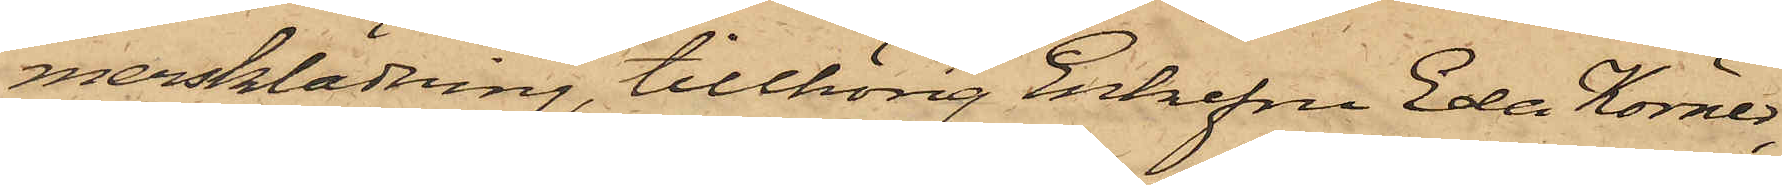mersklädning, tillhörig Enkefru Eda Körner,
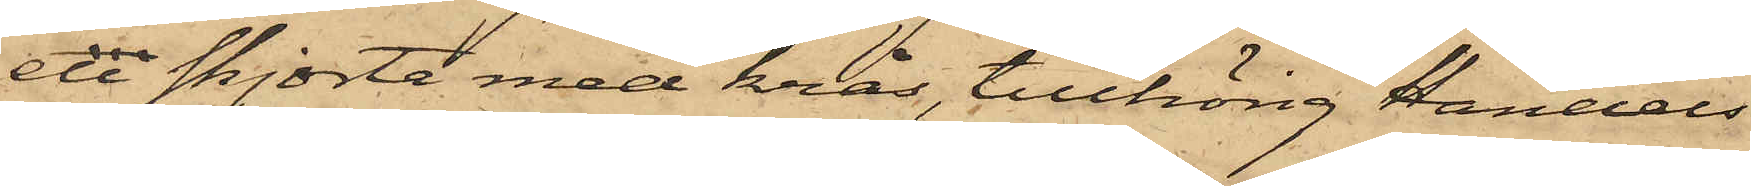en skjorta med krås, tillhörig Handels¬
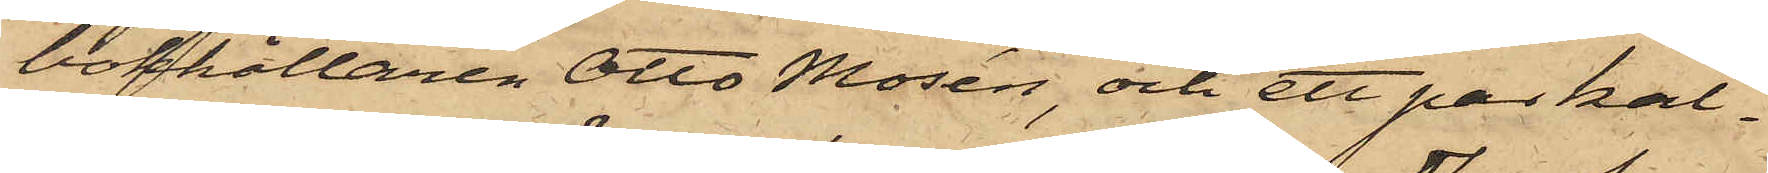bokhållaren Otto Mosén, och ett par kal¬
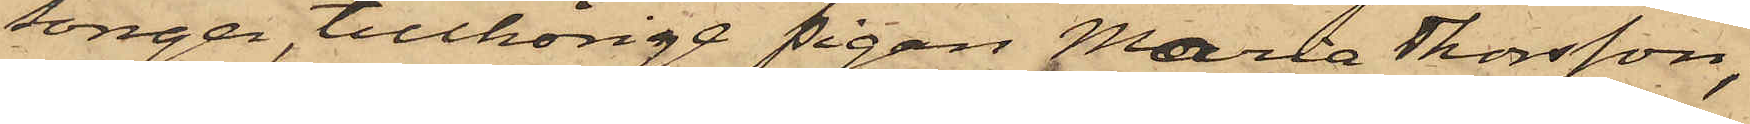songer, tillhörige pigan Maria Thorsson,
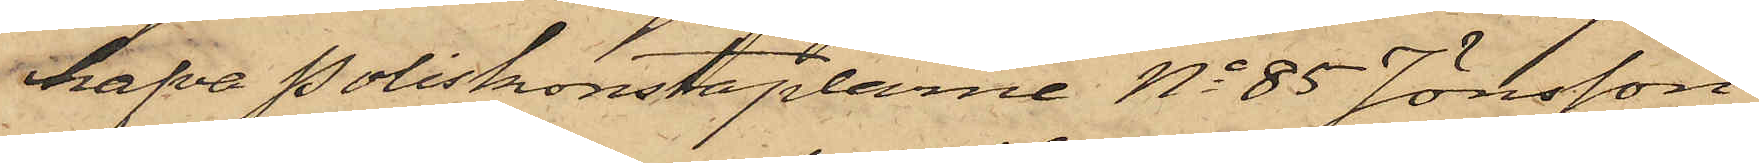hafva Poliskonstaplarne No 85 Jönsson
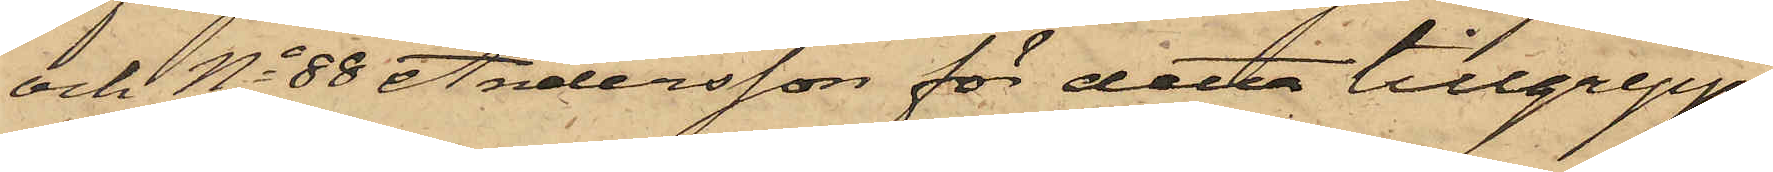och No 88 Andersson för detta tillgrepp
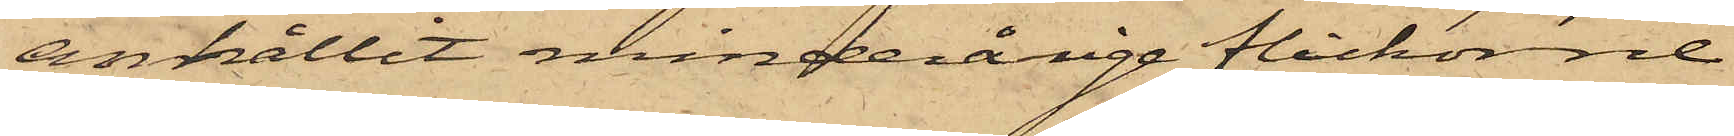anhållit minderårige flickorne
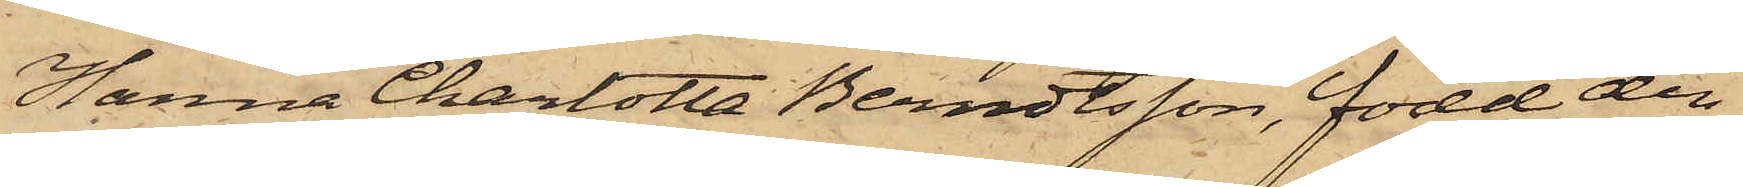Hanna Charlotta Berndtsson, född den
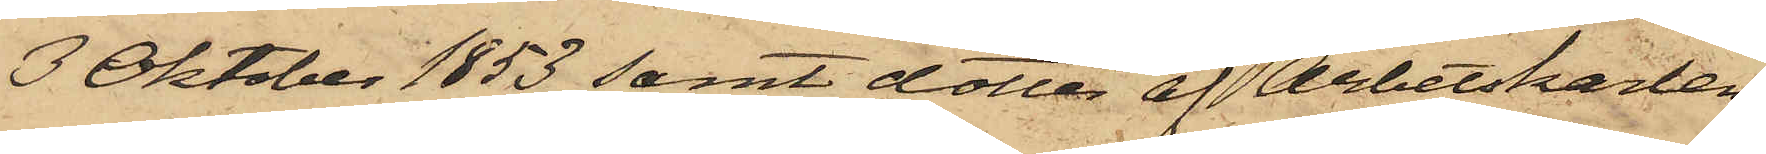3 Oktober 1853 samt dotter af Arbetskarlen
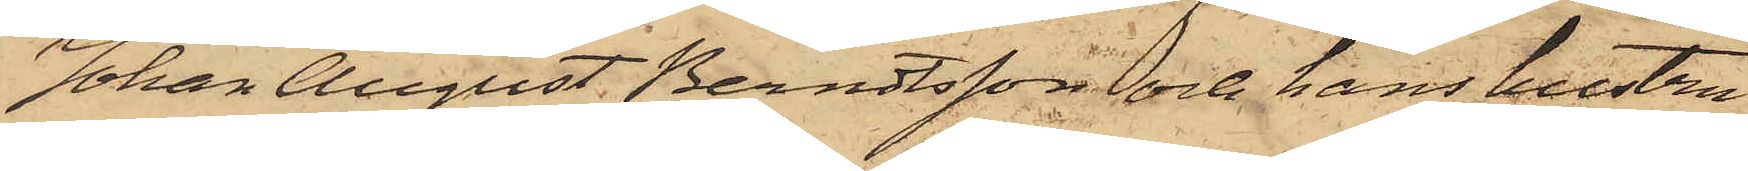Johan August Berndtsson och hans hustru
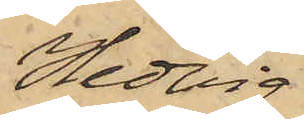Hedvig
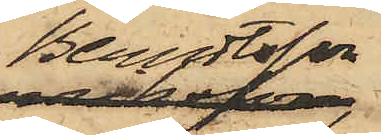Berndtsson,
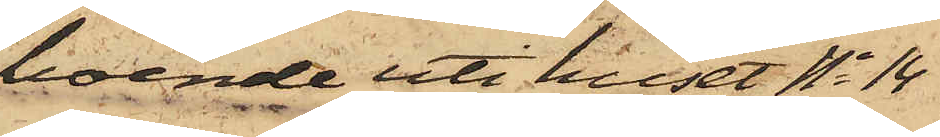boende uti huset No 14
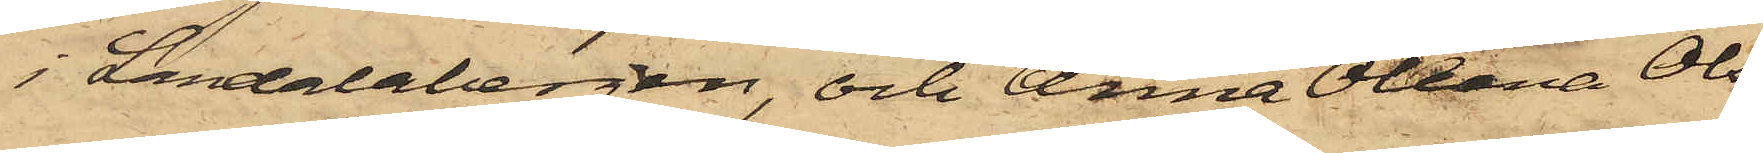i Landalabergen, och Anna Oleana Ols¬
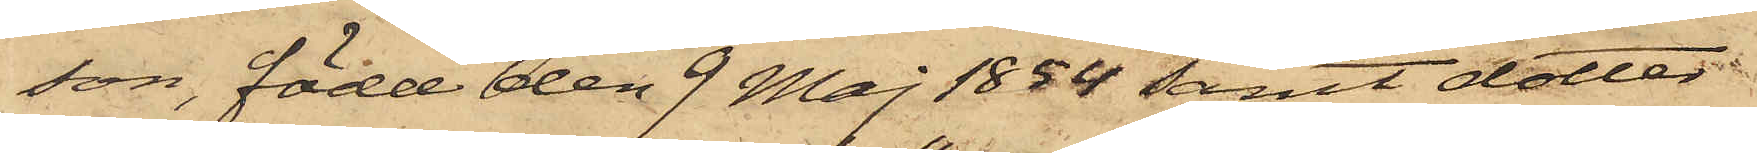son, född den 9 Maj 1854 samt dotter
